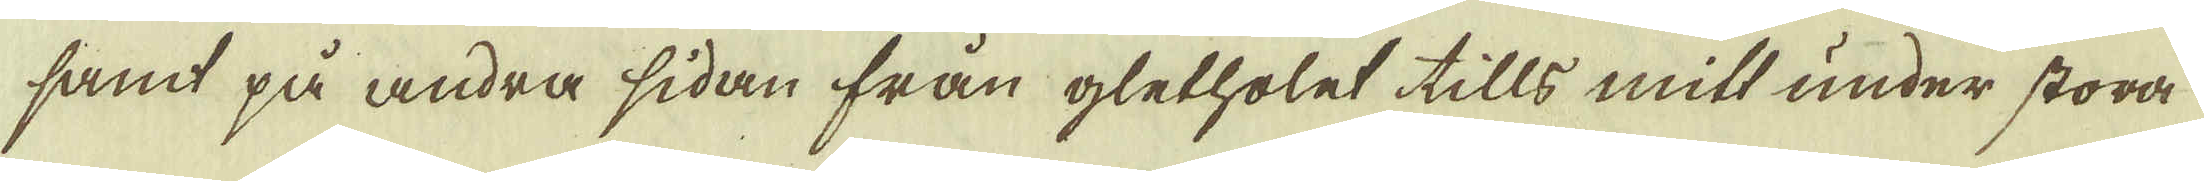samt på andra sidan från gletholet tills mitt under stora
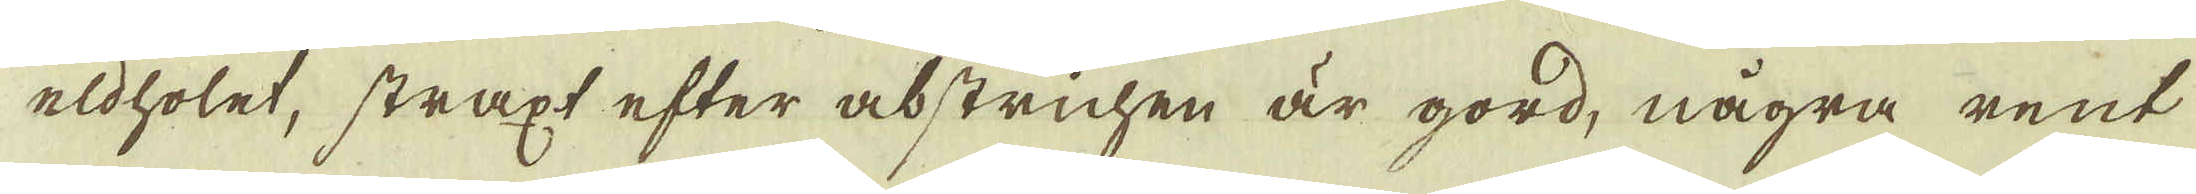eldholet, straxt efter abstrichen är gord, några rent
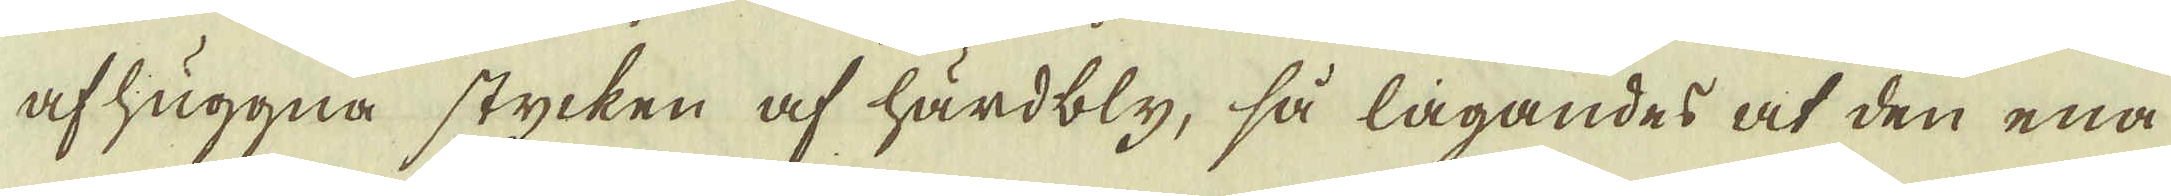afhuggna stycken af härdbly, så lagandes at den ena
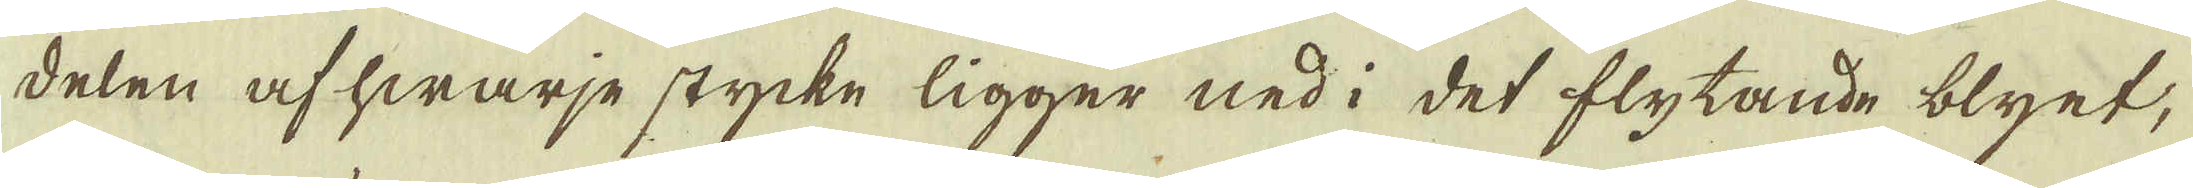delen af hwarje stycke ligger ned i det flytande blyet,
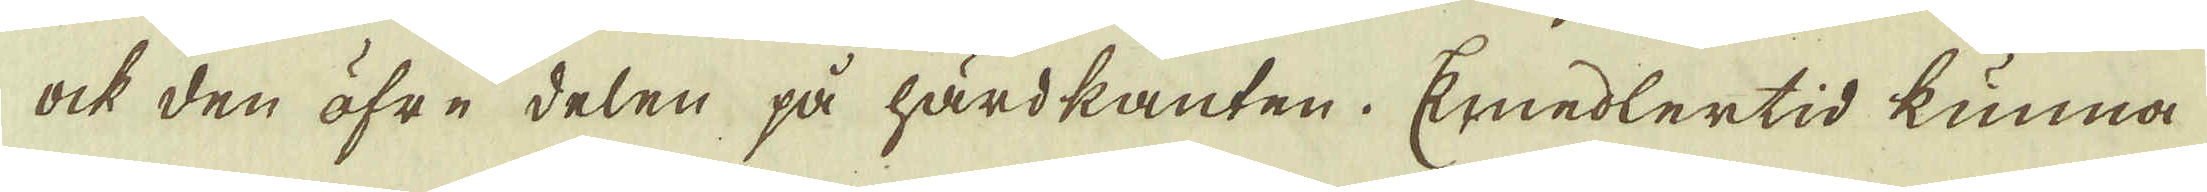ock den öfre delen på härdkanten. Emedlertid kunna
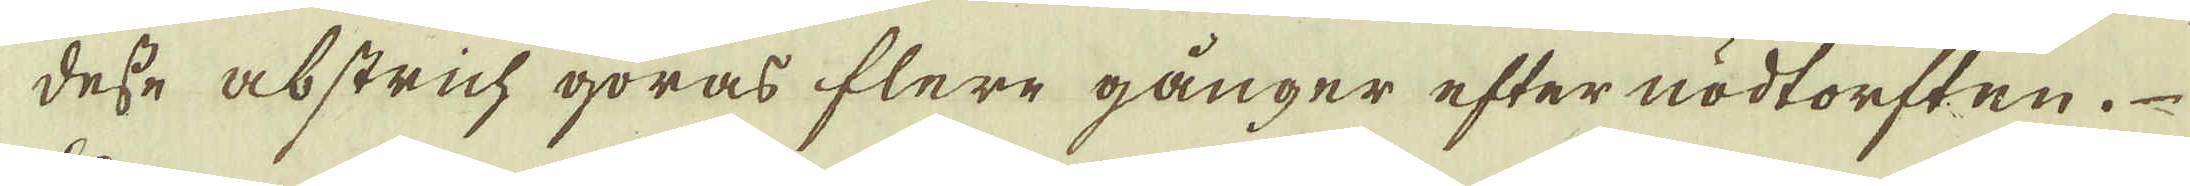desse abstrich göras flere gånger efter nödtorften.
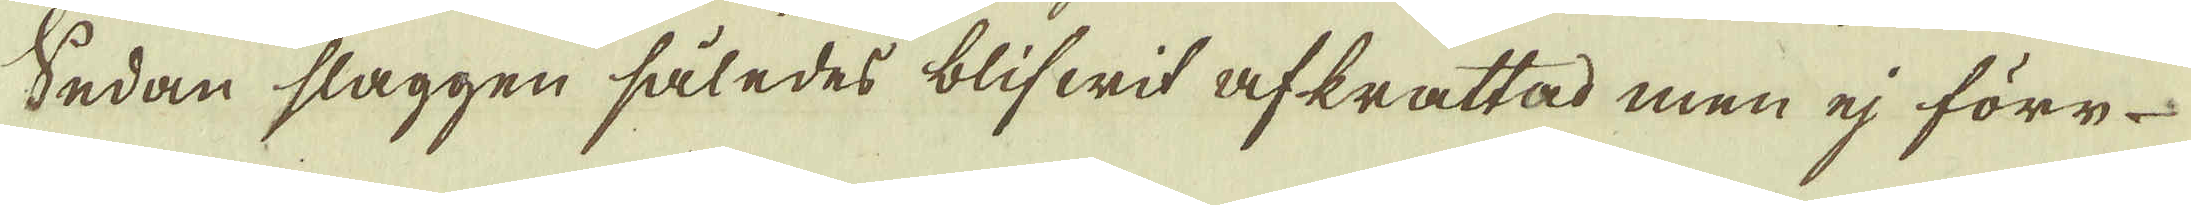Sedan slaggen således blifwit afkrattad men eij före
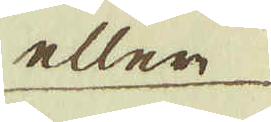eller
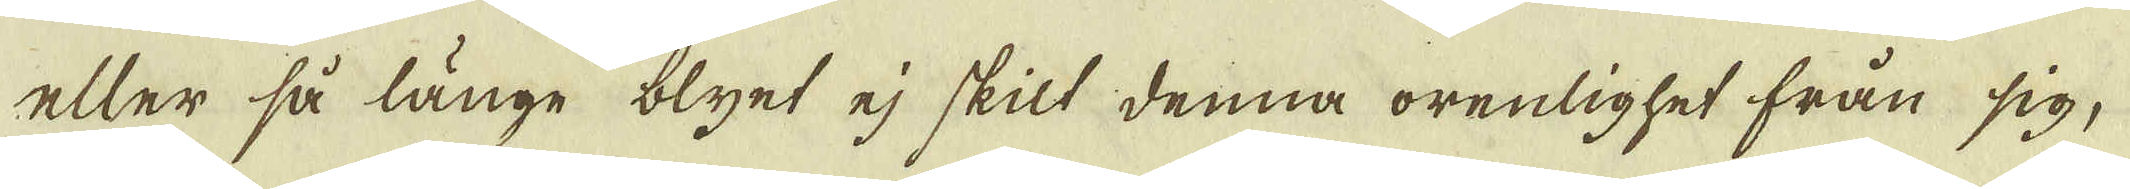eller så länge blyet ej skilt denna orenlighet från sig,
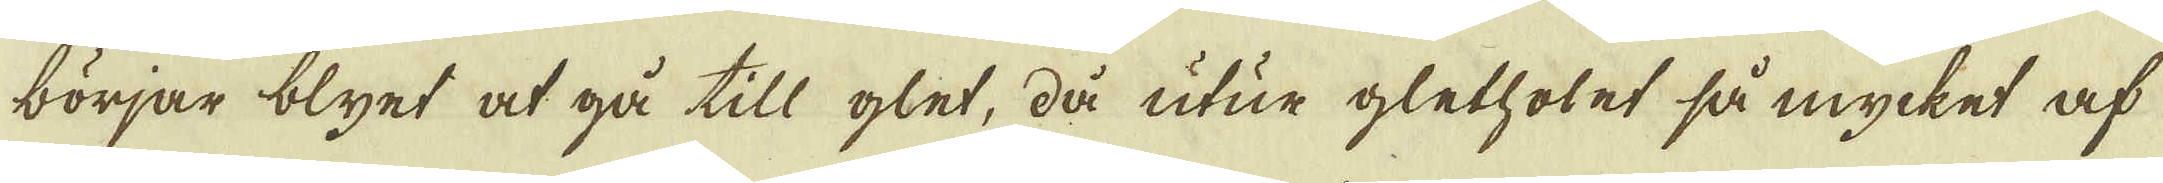börjar blyet at gå till glet, då utur glethotet så mycket af
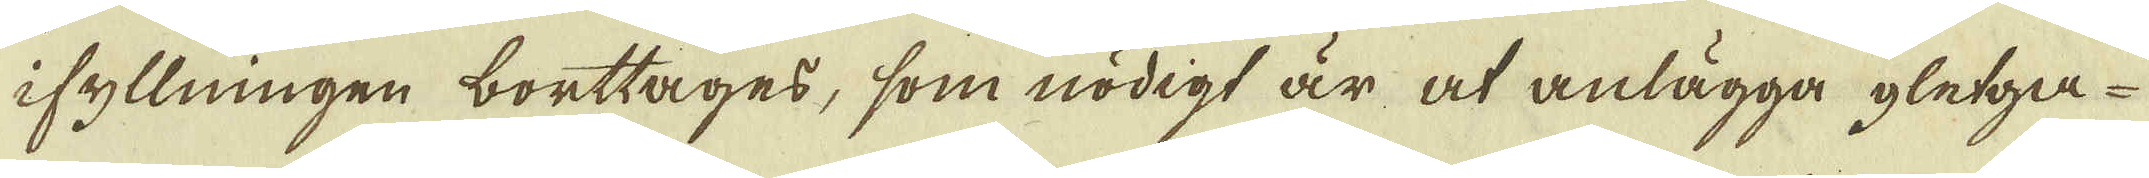ifyllningen borttages, som nödigt är at anlägga gletga-
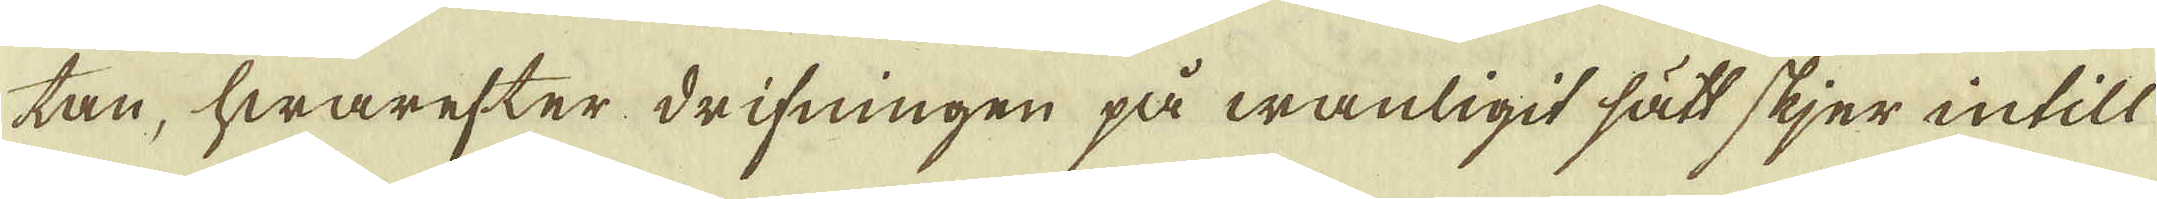tan, hwarefter drifningen på wanligit sätt skjer intill
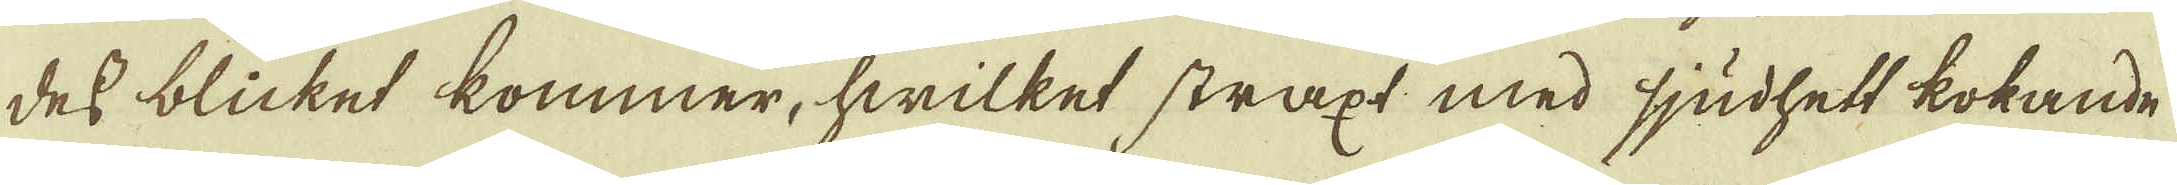dess blicket kommer, hwilket straxt med sjudhett kokande
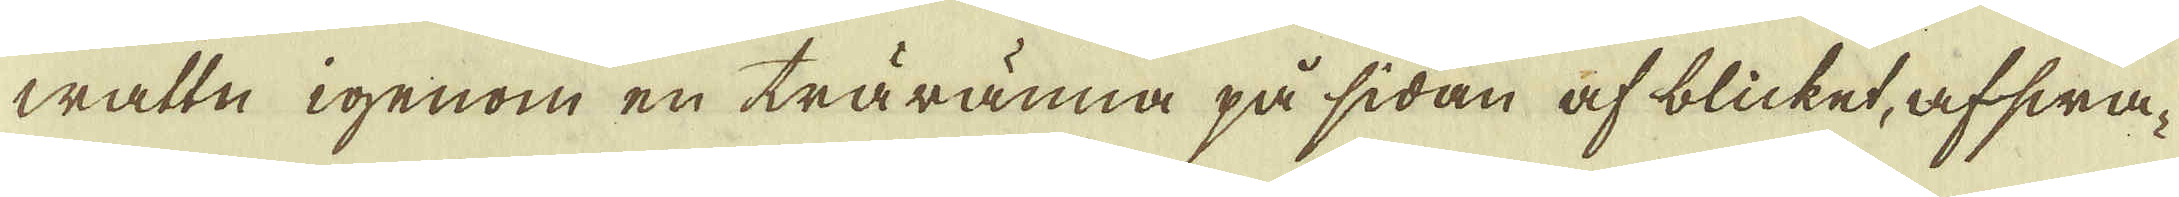wattn igenom en träränna på sidan af blicket, afswa-
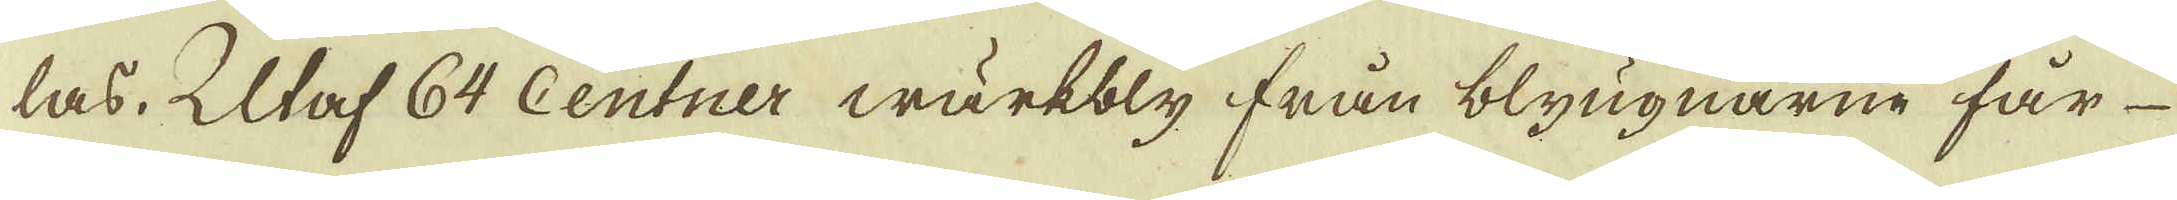las. Utaf 64 centner wärkbly från blyugnarne får
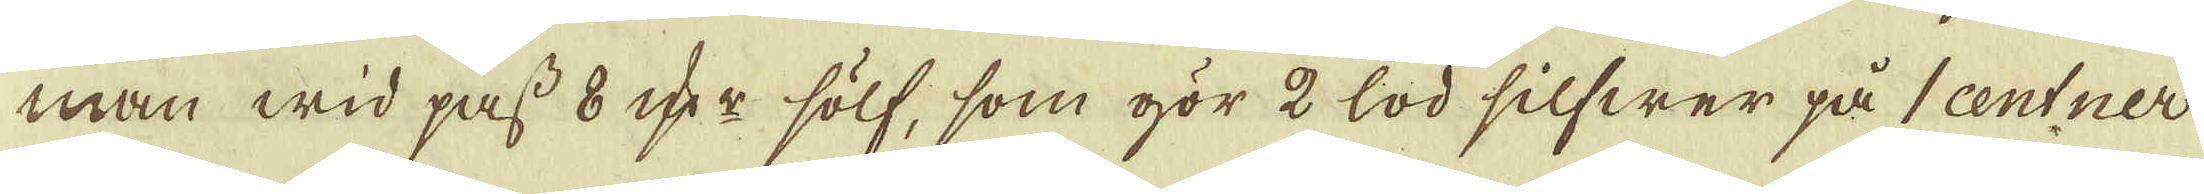man wid pass 8 qv:r sölf, som gör 2 lod silfwer på 1 centner
